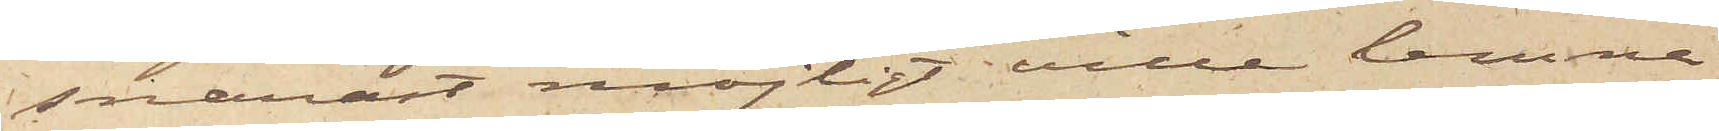snarast möjligt ville lemna
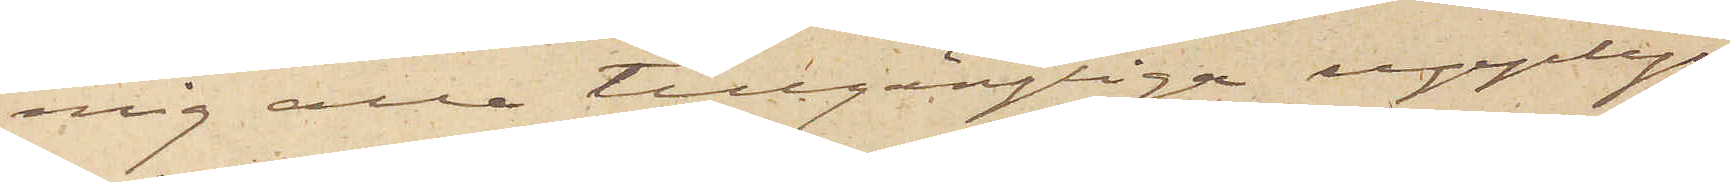mig alla tillgängliga upplys¬
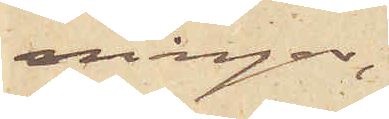ningar,
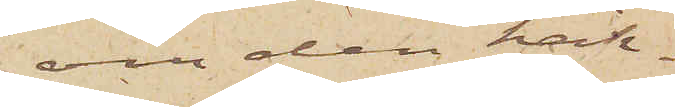om den häk¬
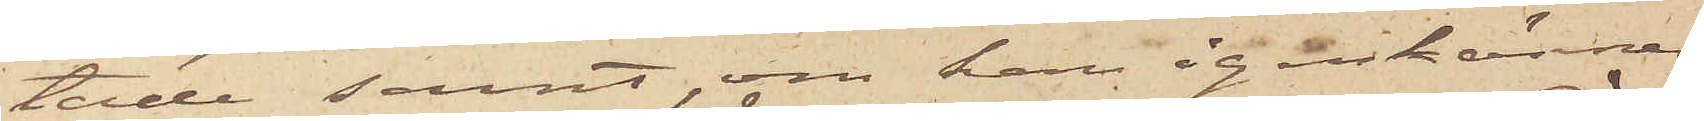tade samt, om han igenkännes,
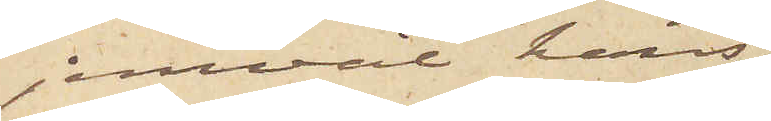jemväl hans
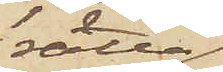rätta
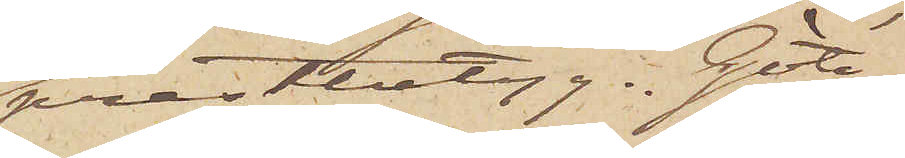prestbetyg. Göte¬
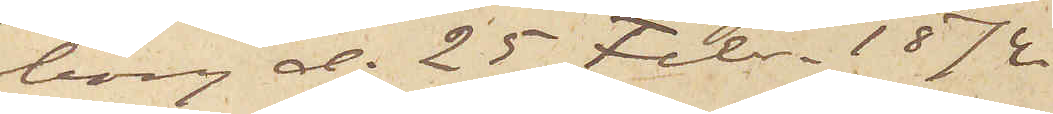borg d. 25 Febr. 1874.
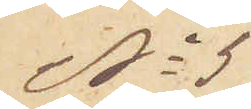No 5
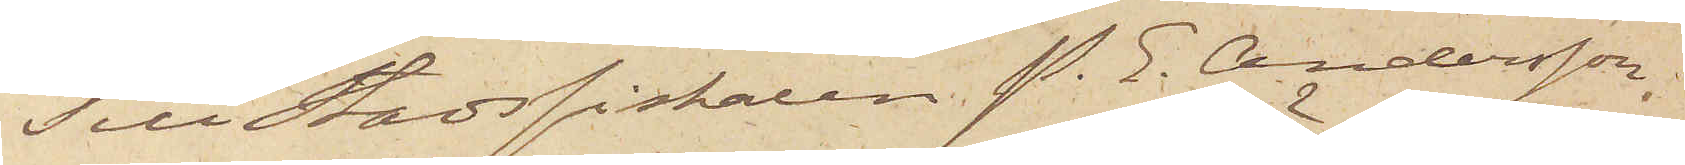Till Stadsfiskalen P. E. Andersson;
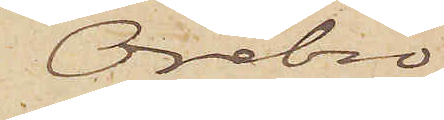Örebro
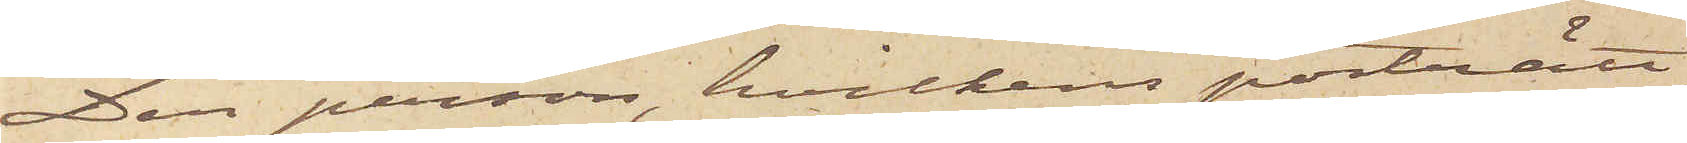Den person, hvilkens porträtt
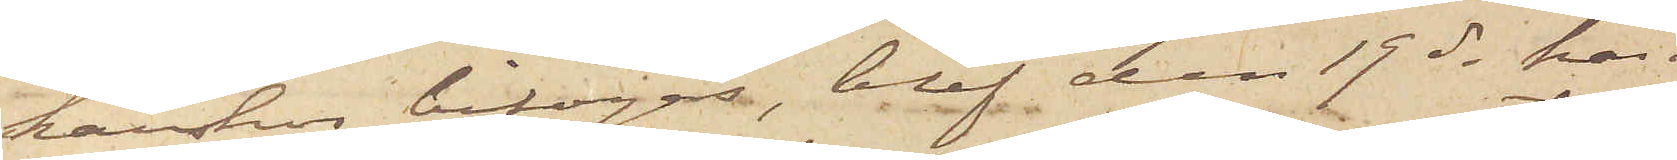härhos bifogas, blef den 19 ds här¬
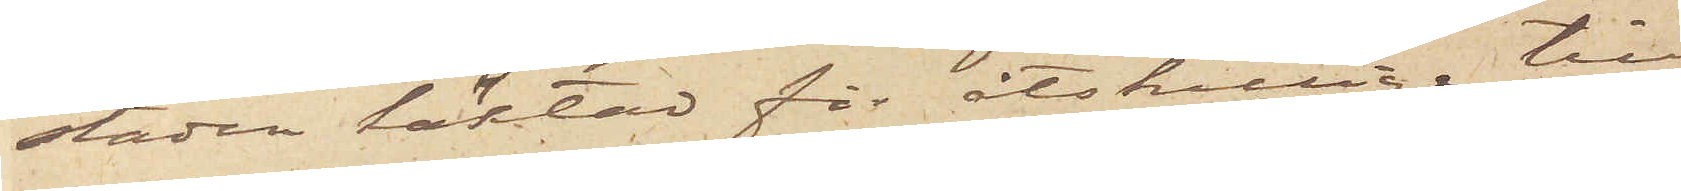städes häktad för åtskillige till¬
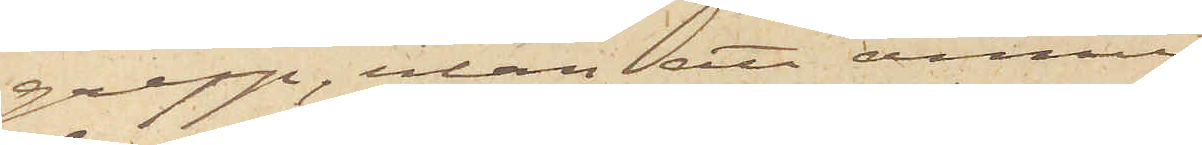grepp, utan att ännu
